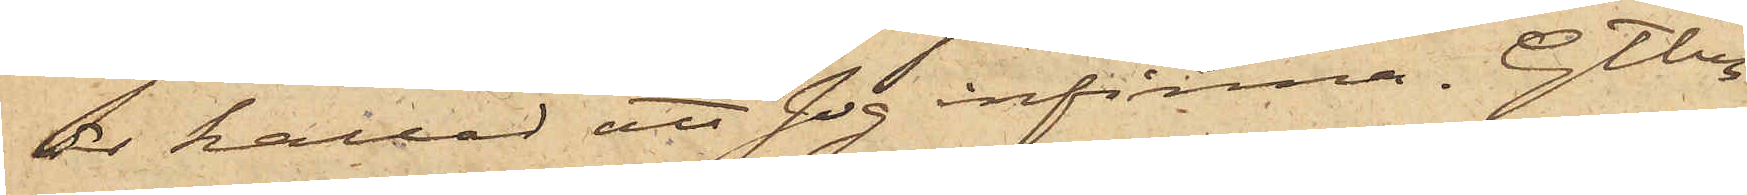är kallad att sig infinna. Gtbg
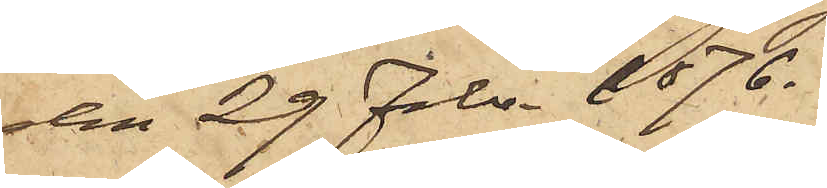den 29 Febr. 1876.
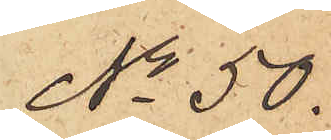No 50.
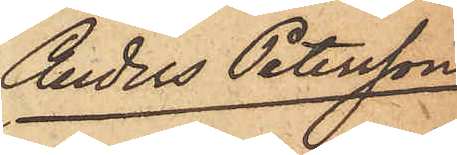Anders Petersson
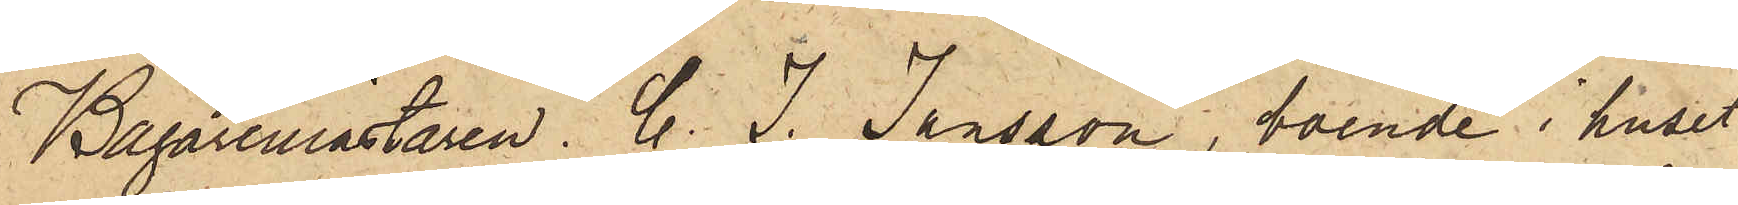Bagaremästaren C. J. Jansson, boende i huset
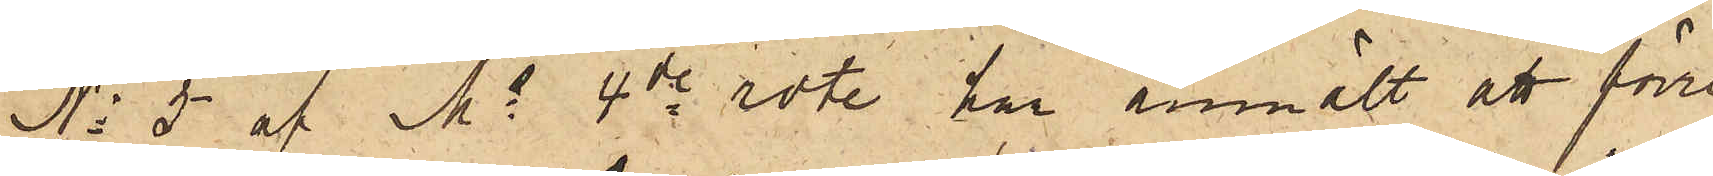No 5 af Ms 4de rote har anmält att förre
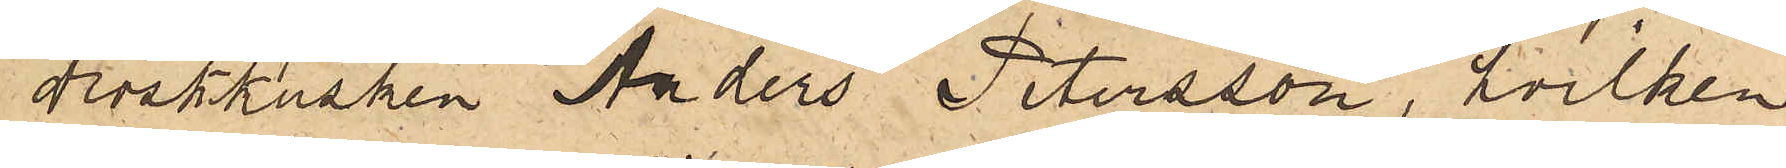droskkusken Anders Petersson, hvilken
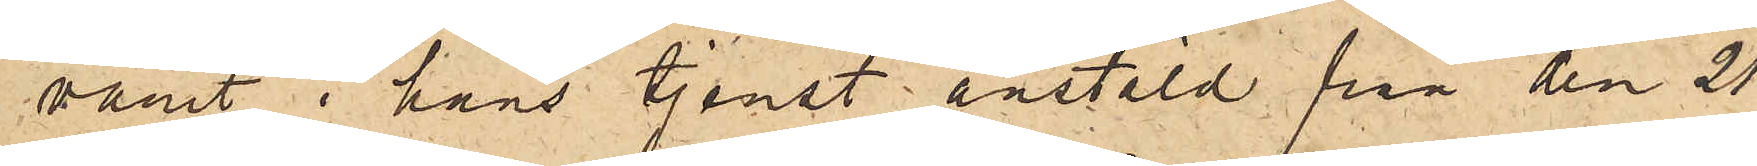varit i hans tjenst anstäld från den 21
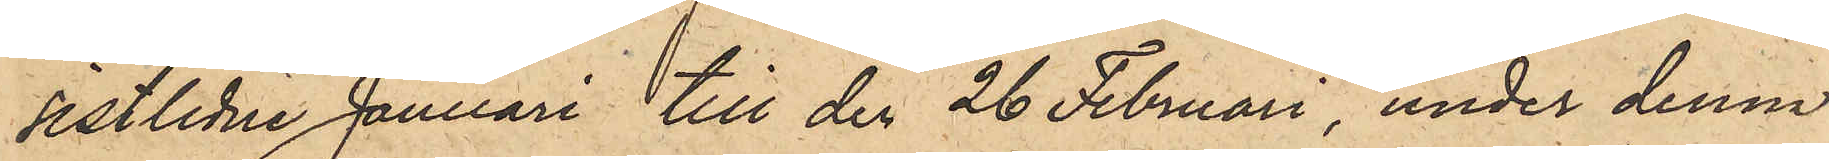sistlidne Januari till den 26 Februari under denna
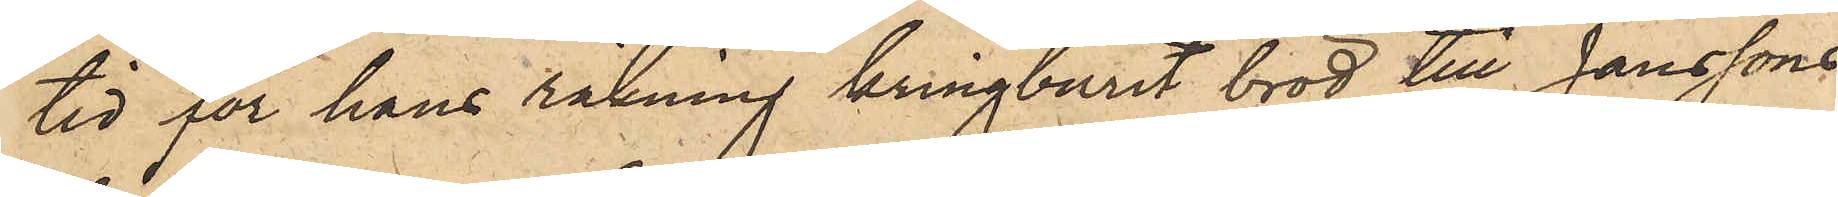tid för hans räkning kringburit bröd till Janssons
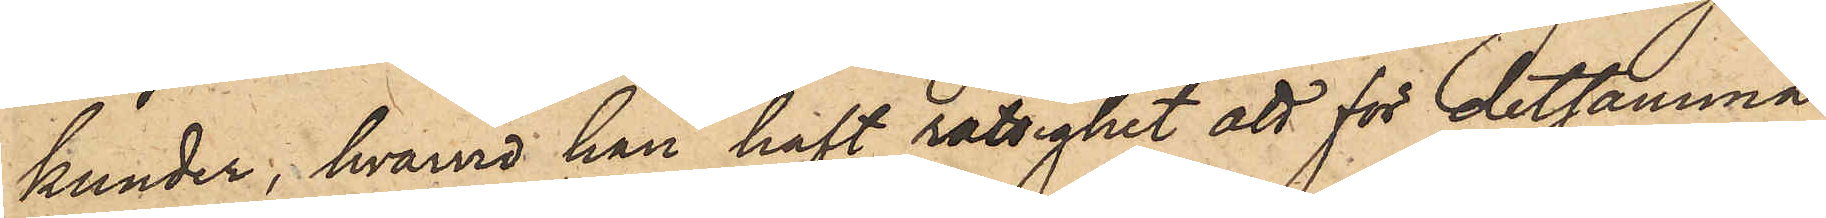kunder, hvarvid han haft rättighet att för detsamma
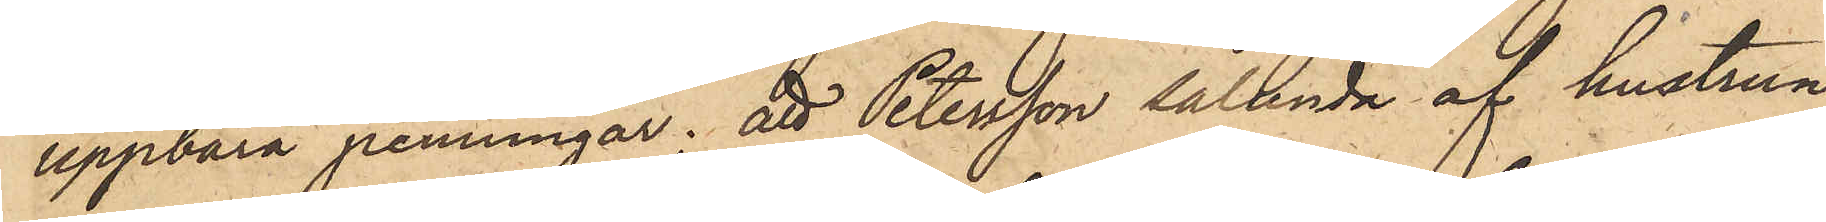uppbära penningar; att Petersson sålunda af hustrun
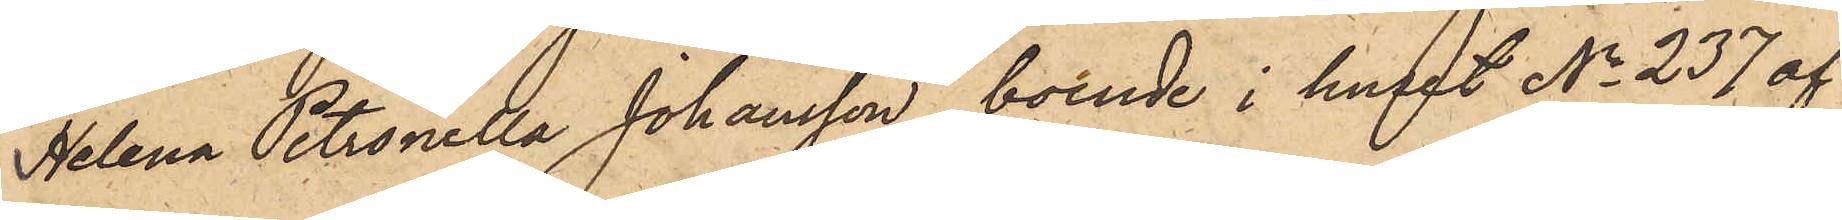Helena Petronella Johansson, boende i huset No 237 af
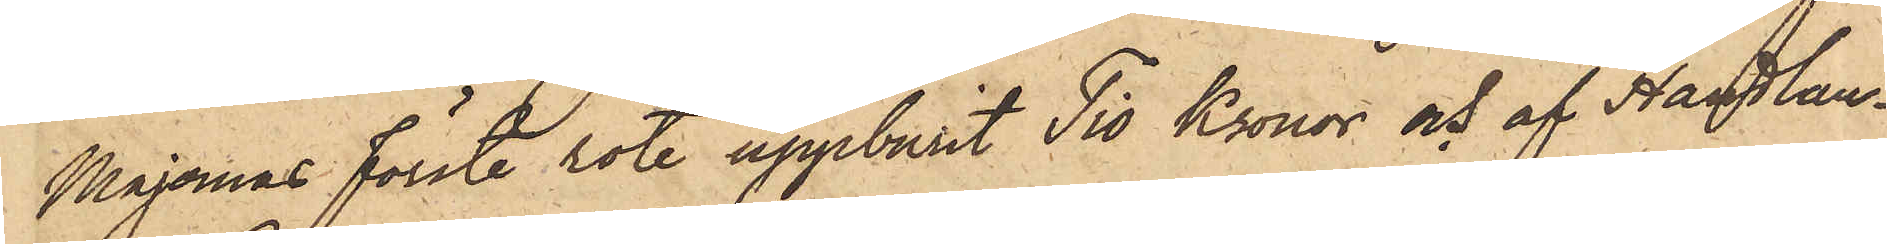Majornas förste rote uppburit Tio Kronor och af Handlan¬
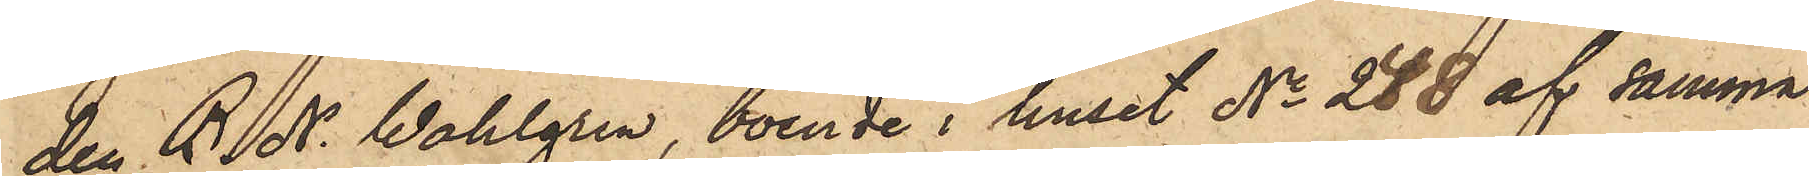den B.N. Wahlgren, boende i huset No 248 af samma
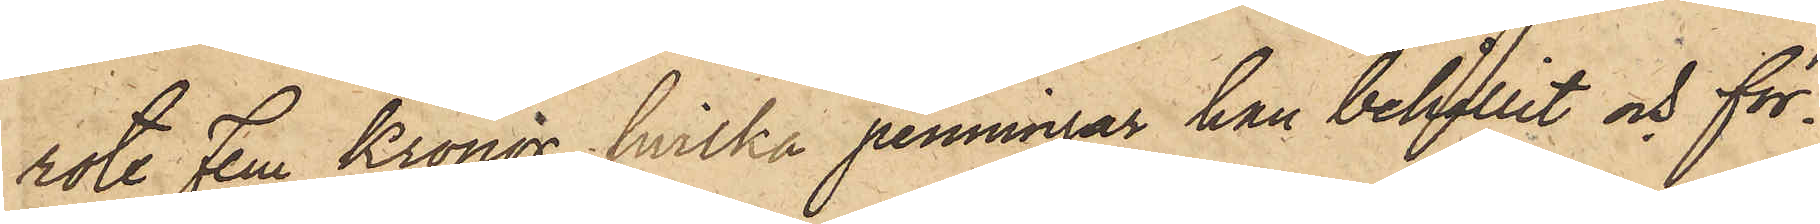rote Fem Kronor, hvilka penningar han behållit och för¬
